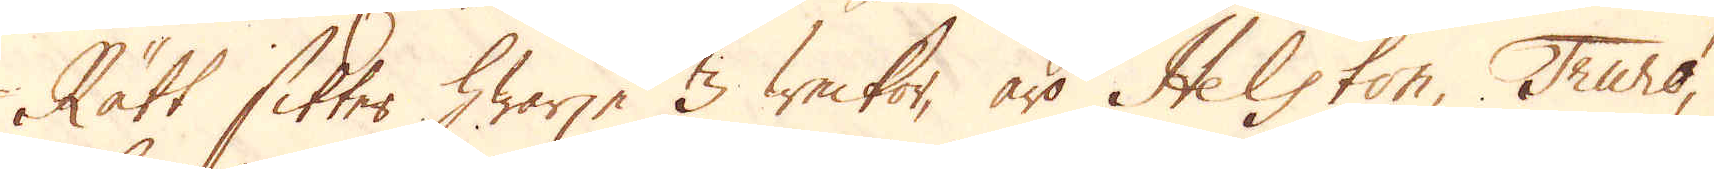Rätt sitter hwarje 3 weckor, äro Helston, Truro,
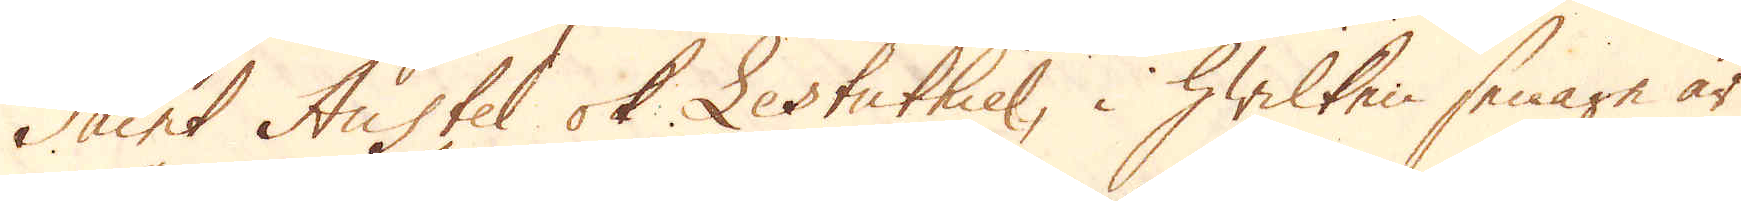Saint Austel ok Lestuthiel, i hwilken senare är
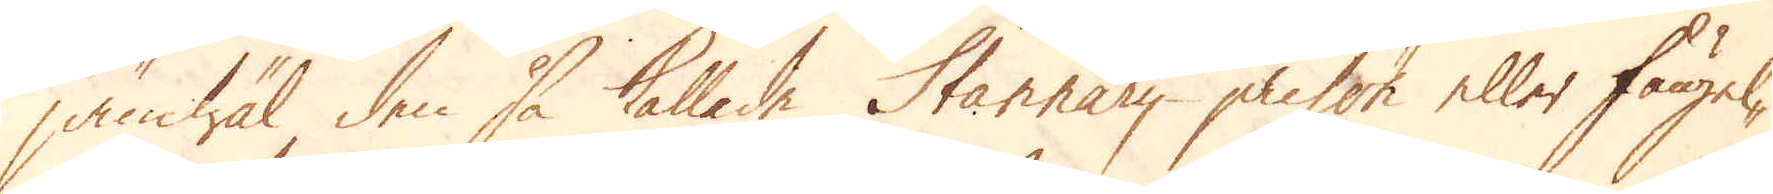jämwäl den så kallade Stannary prison eller fängel-
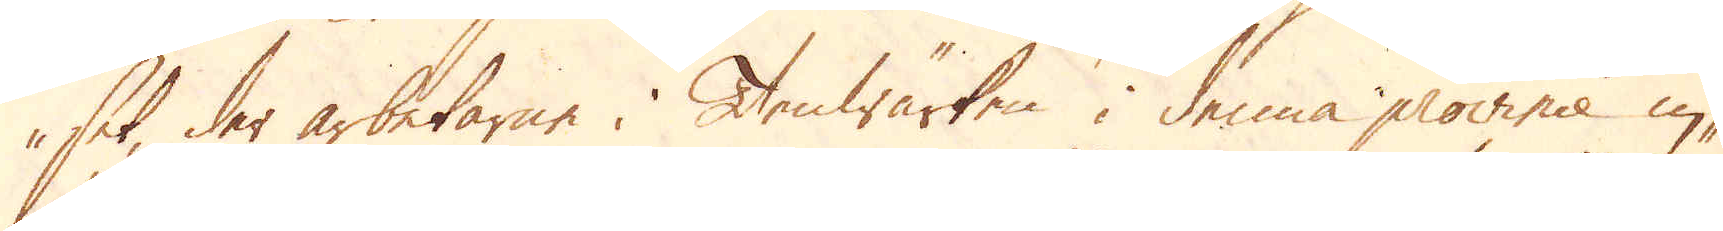set, der arbetarne i Tenwärken i denna province in-
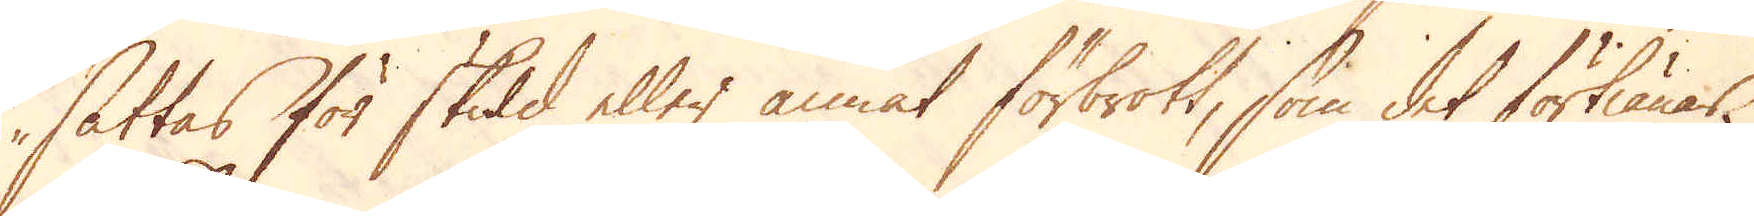sättas för skuld eller annat förbrott, som det förtiänar.
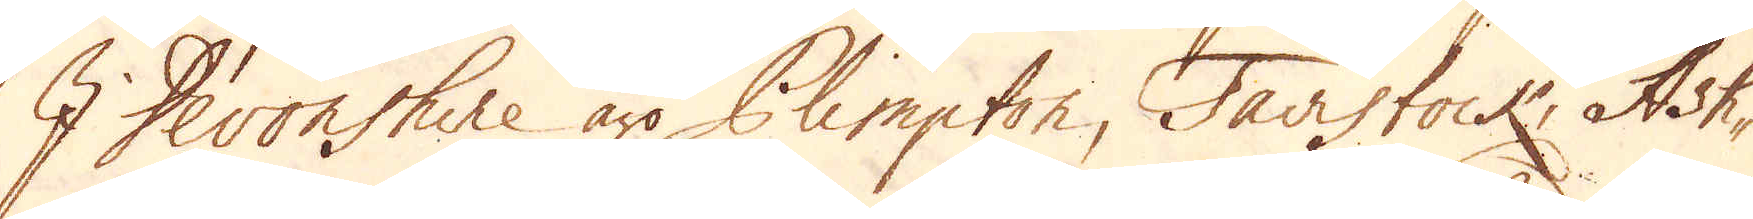I Devonshire äro Plimpton, Tavistock, Ash-
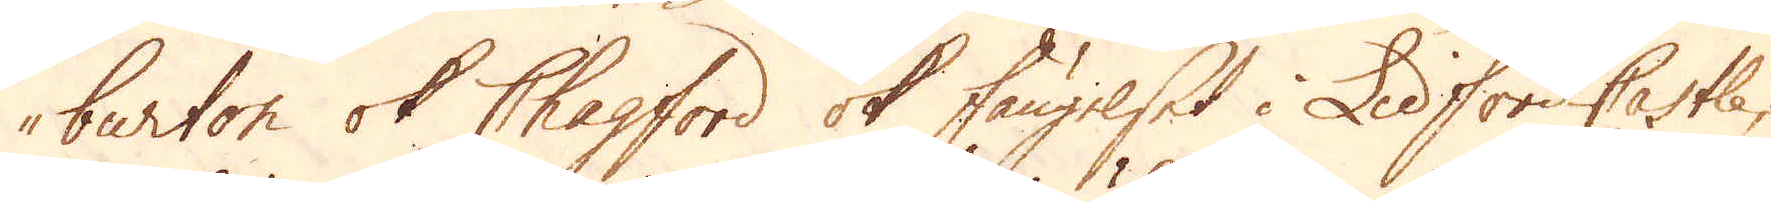burton ok Chagford ok fängelset i Lidford Castle.
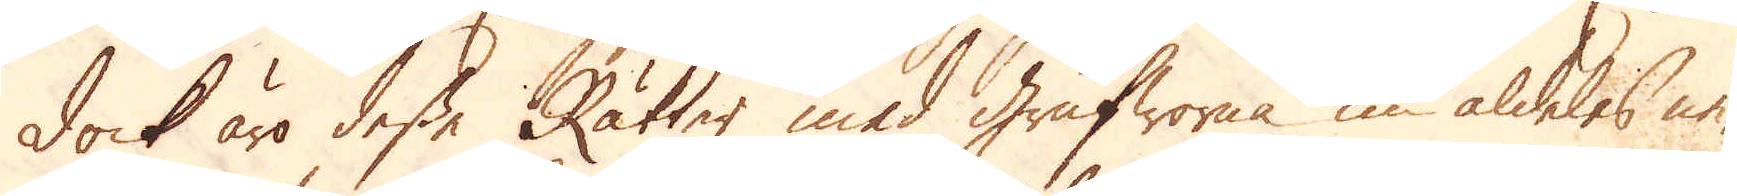Dock äro desse Rätter med Grufworna nu aldeles ne-
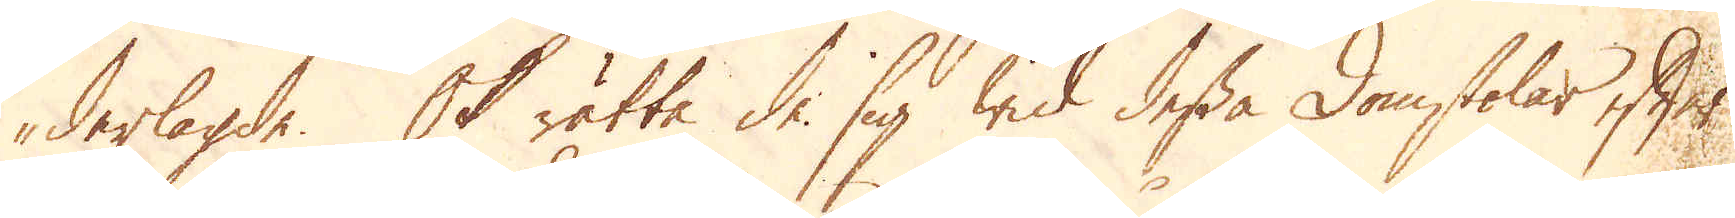derlagde. Ok rätta de sig wid dessa Domstolar efter
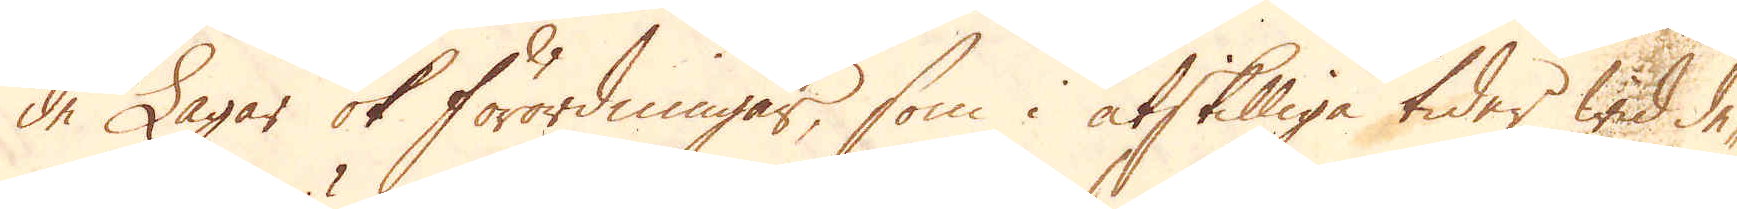de Lagar ok förordningar, som i åtskilliga tider wid de-
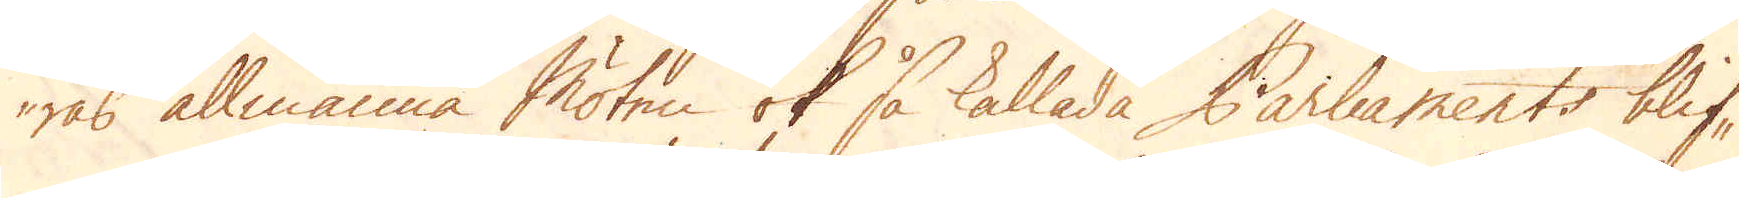ras allmänna Möten ok så kallade Parliaments blif-
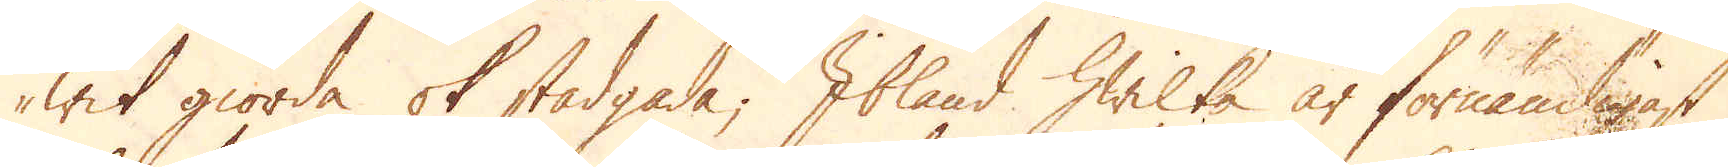wit giorda ok stadgade; Ibland hwilka är förnämligast
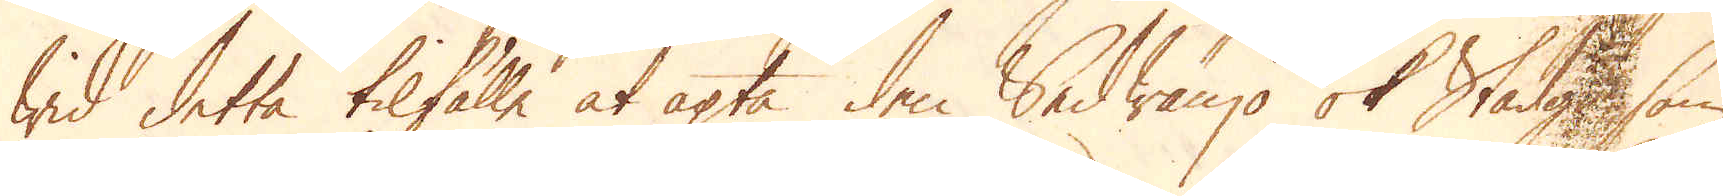wid detta tilfälle at agta den Sedwänjo ok Stadga, som
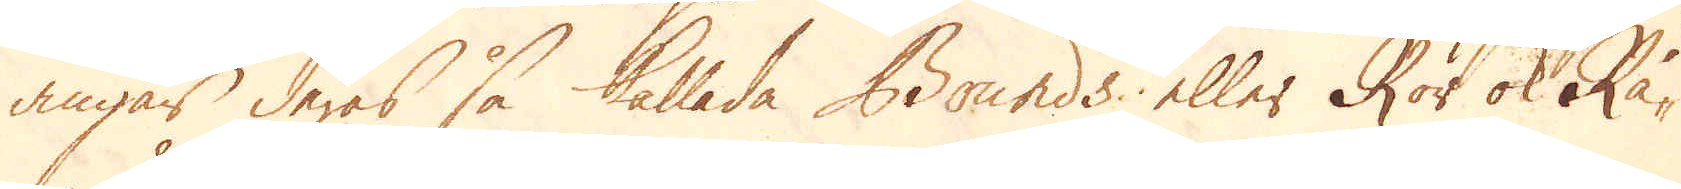angår deras så kallade Bounds eller Rör ok Rå-
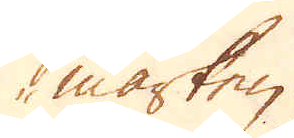märken.
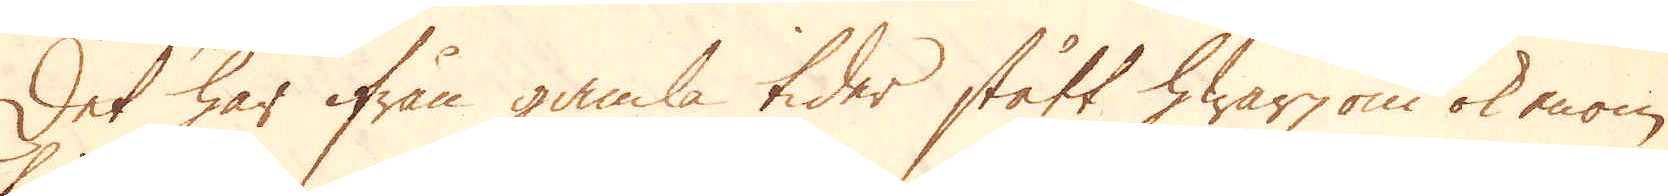Det har ifrån gamla tider stått hwarjom ok enom
